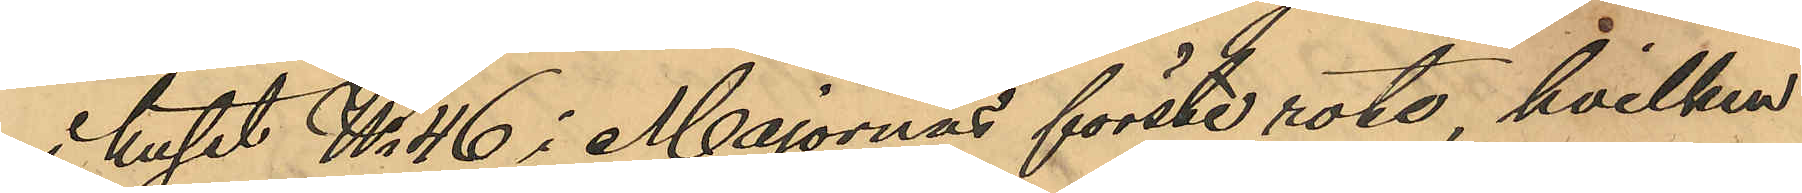huset No 46 i Majornas förste rote, hvilken
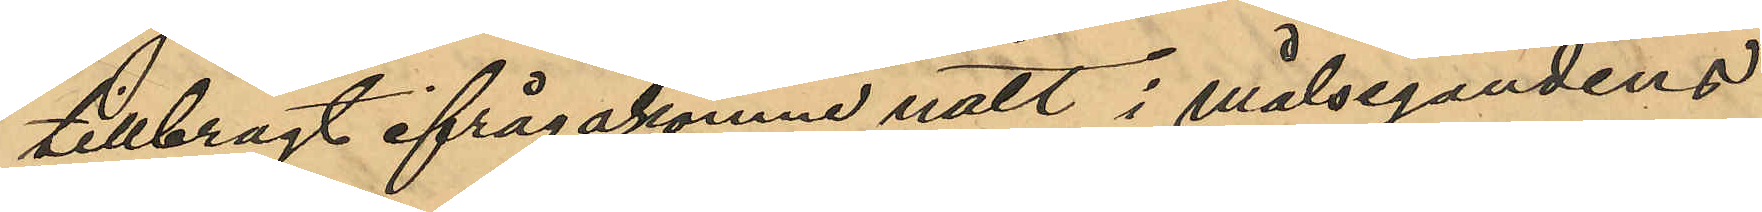tillbragt ifrågakomne natt i målsegandens
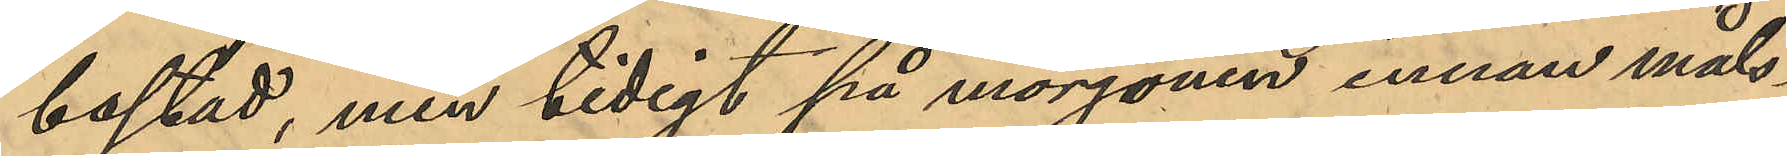bostad, men tidigt på morgonen innan måls¬
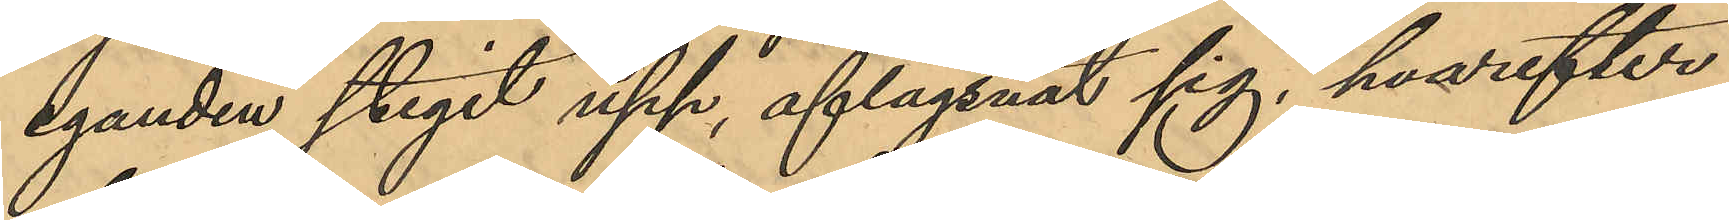eganden stigit upp, aflägsnat sig, hvarefter
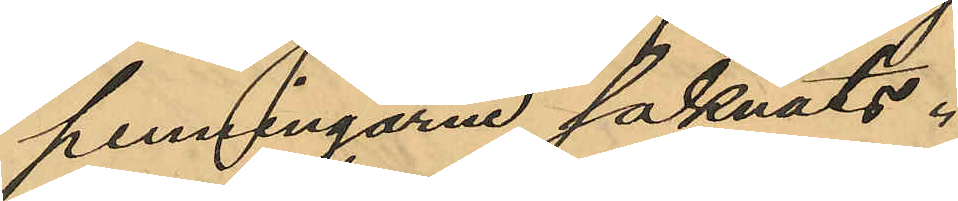penningarne saknats.
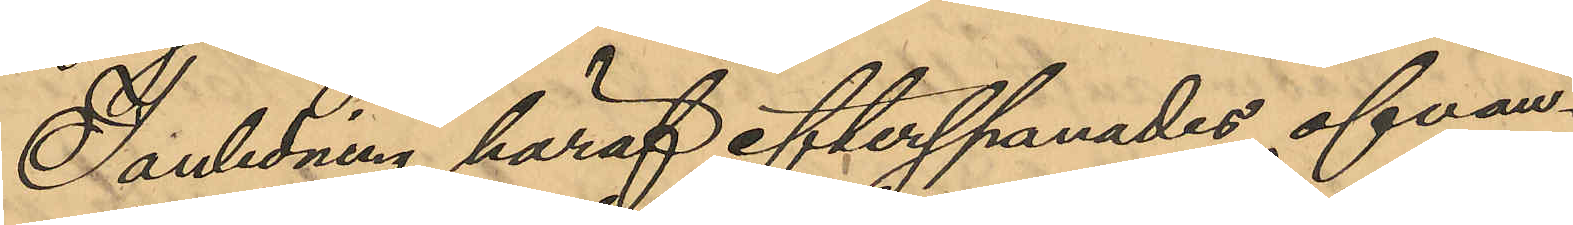I anledning häraf efterspanades ofvan¬
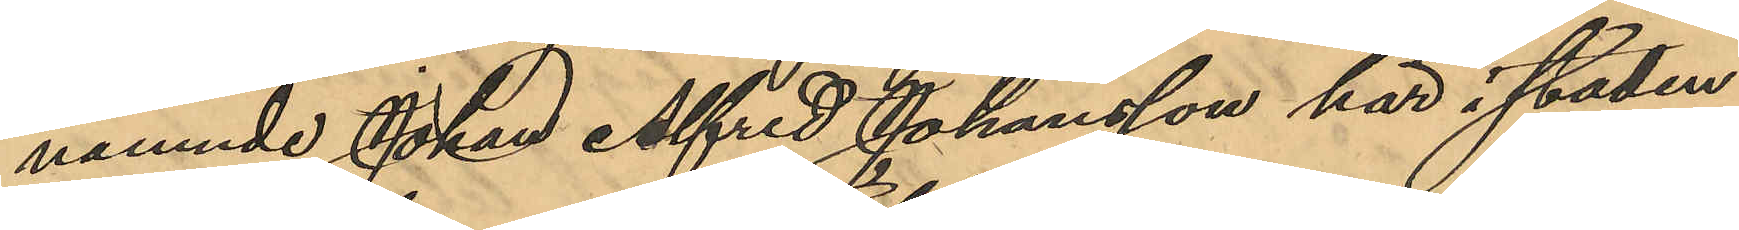nämnde Johan Alfred Johansson här i staden
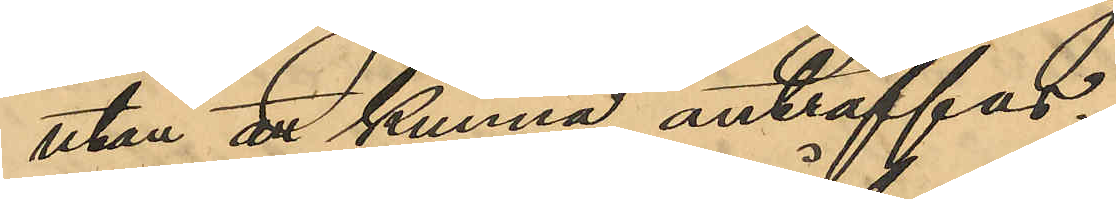utan at kunna anträffas.
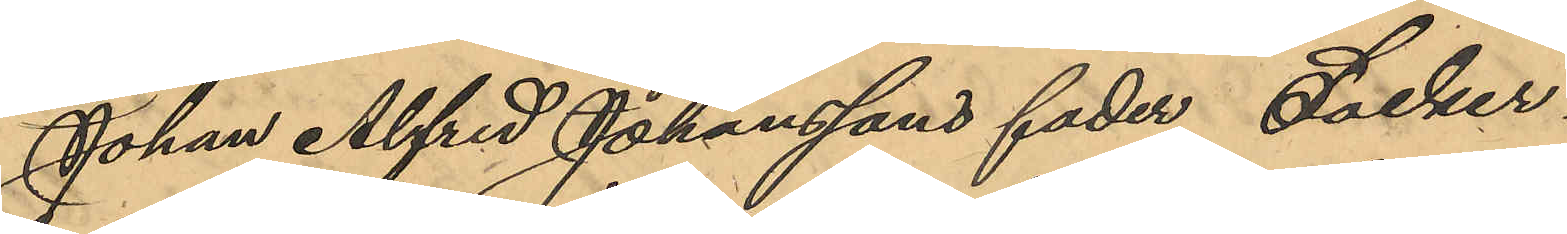Johan Alfred Johanssons fader Socker¬
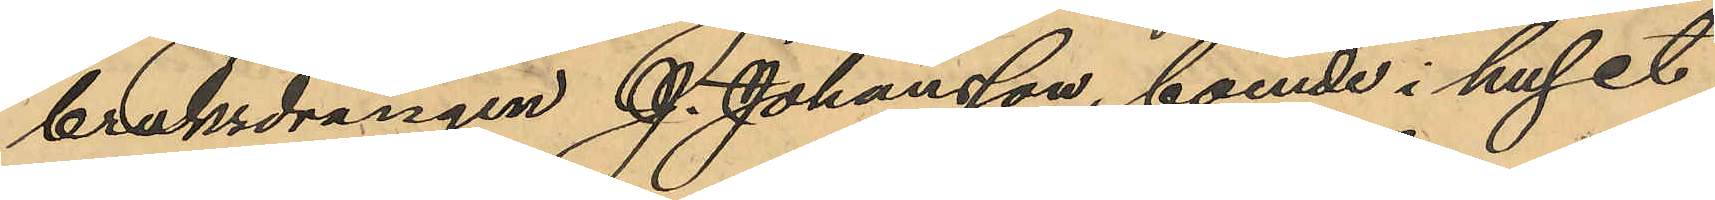bruksdrängen J. Johansson, boende i huset
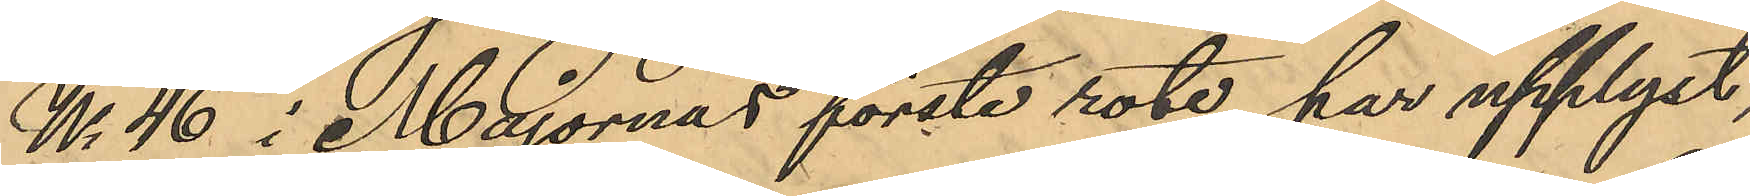No 46 i Majornas förste rote, har upplyst,
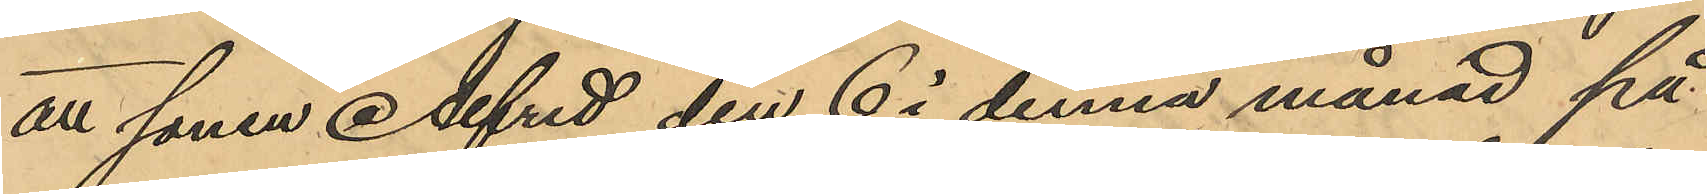att sonen Alfred den 6 i denna månad på
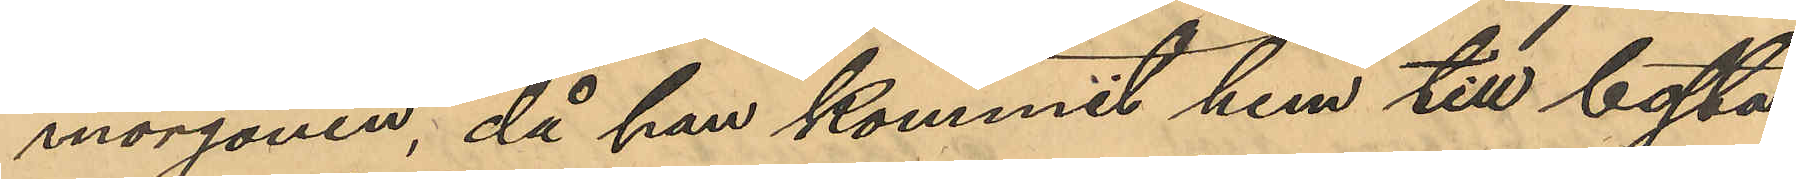morgonen, då han kommit hem till bosta¬
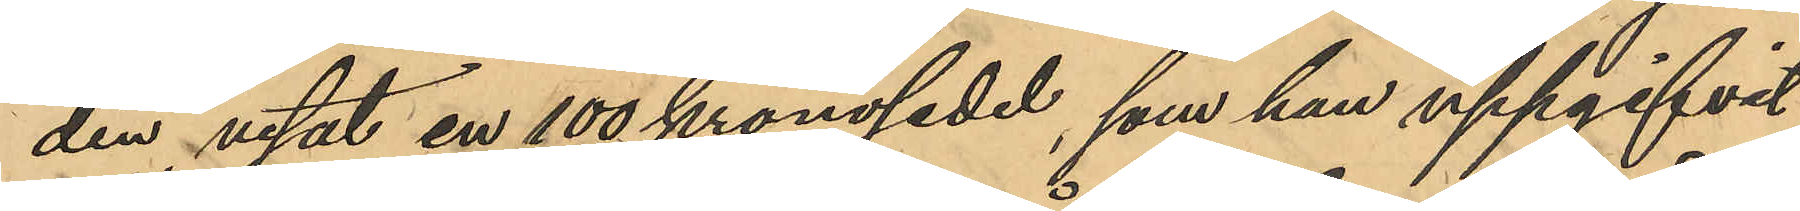den visat en 100kronosedel, som han uppgifvit
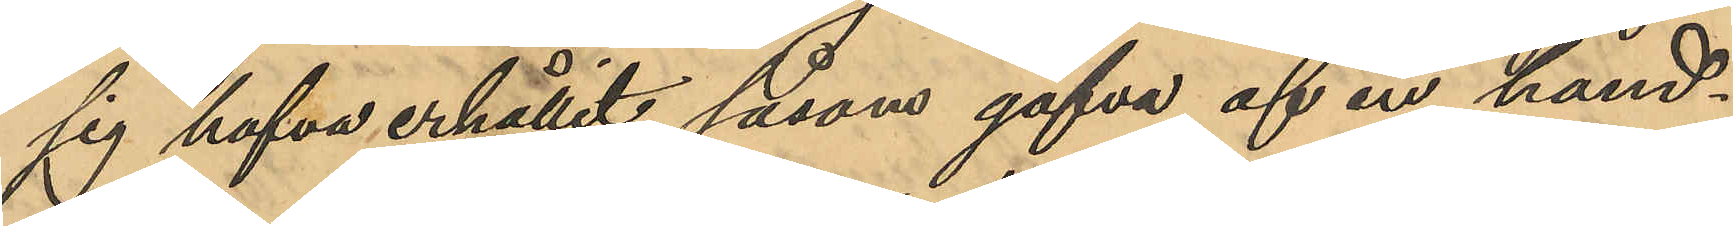sig hafva erhållit såsom gåfva af en hand¬
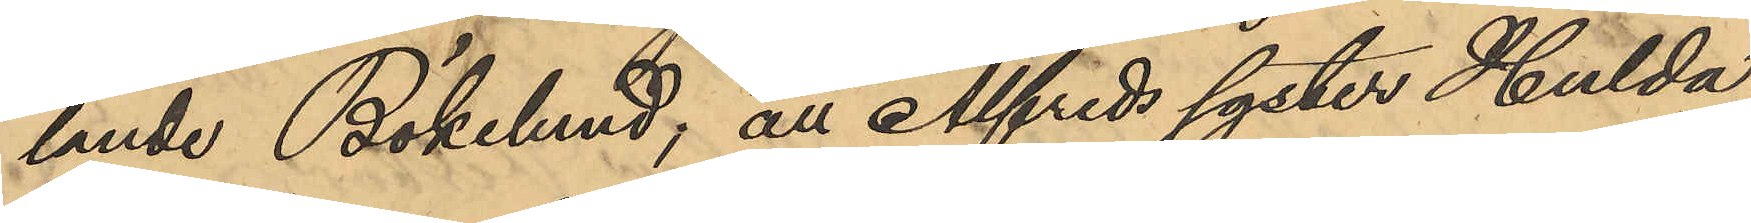lande Bökelund; att Alfreds syster Hulda
